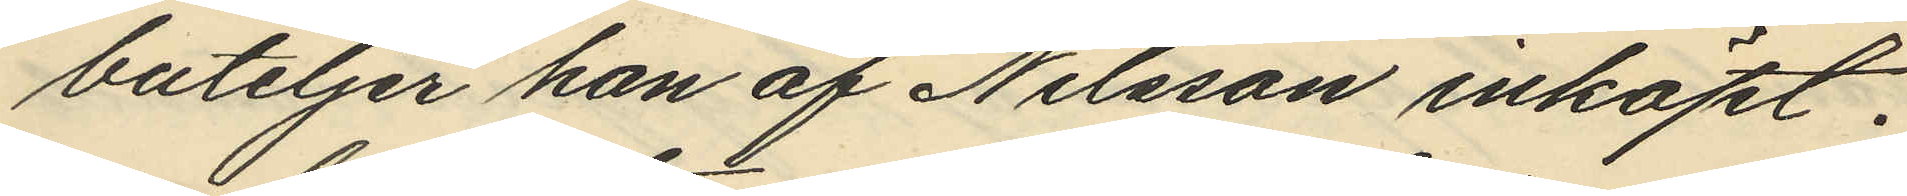buteljer han af Nilsson inköpt.
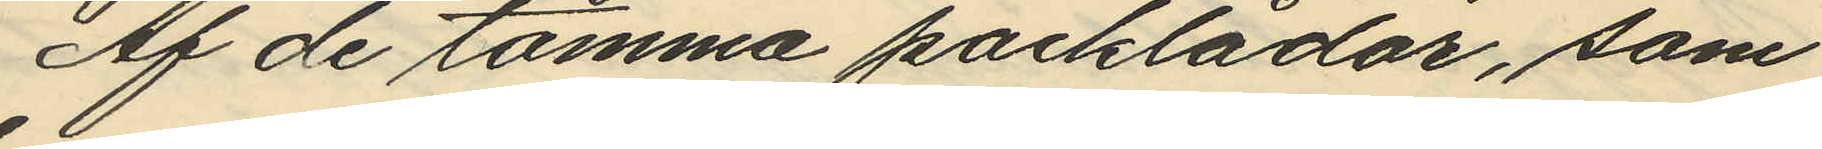Af de tomma packlådor, som
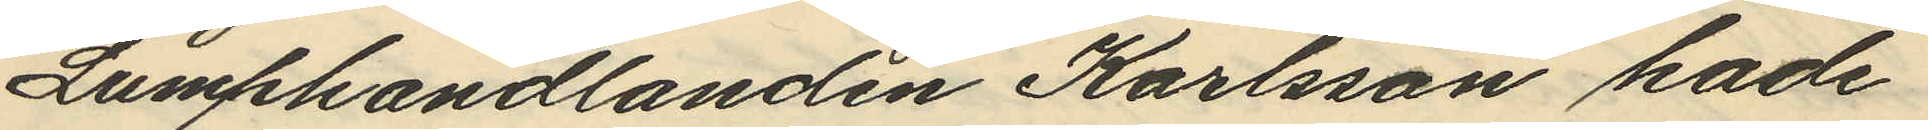Lumphandlanden Karlsson hade
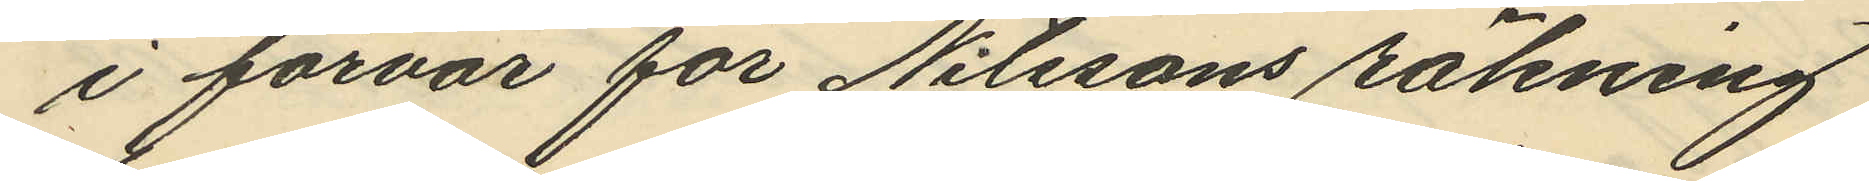i förvar för Nilssons räkning
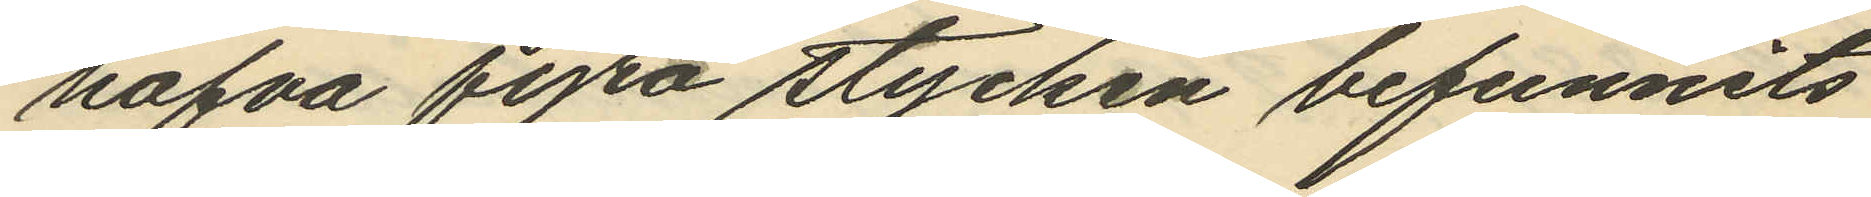hafva fyra stycken befunnits
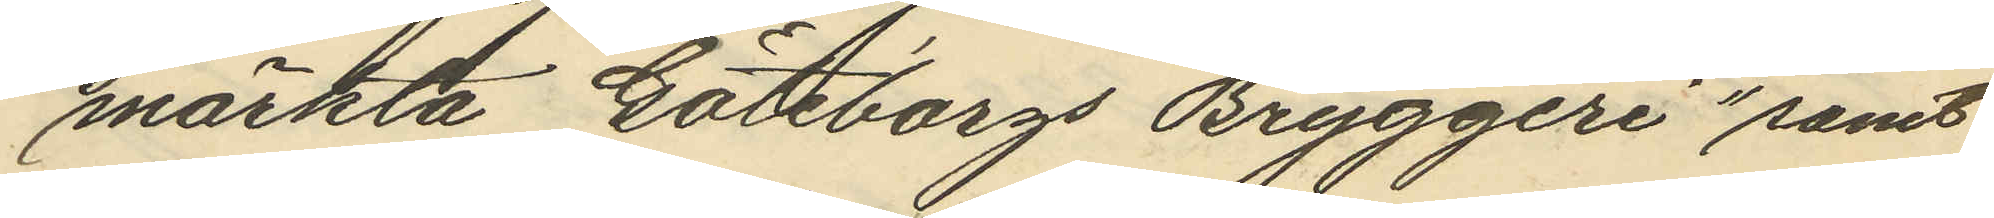märkta "Göteborgs Bryggeri" samt
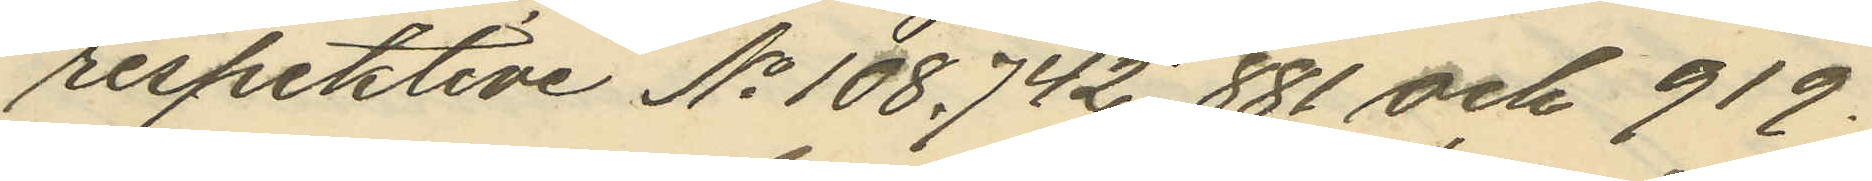respektive No 108, 742, 881 och 919.
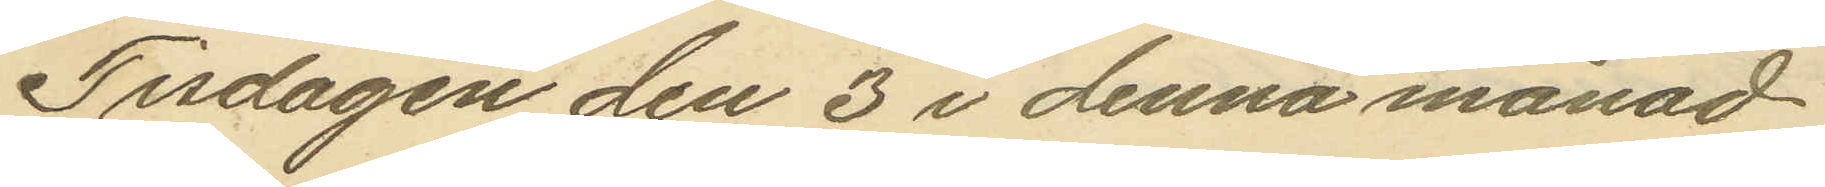Tisdagen den 3 i denna månad
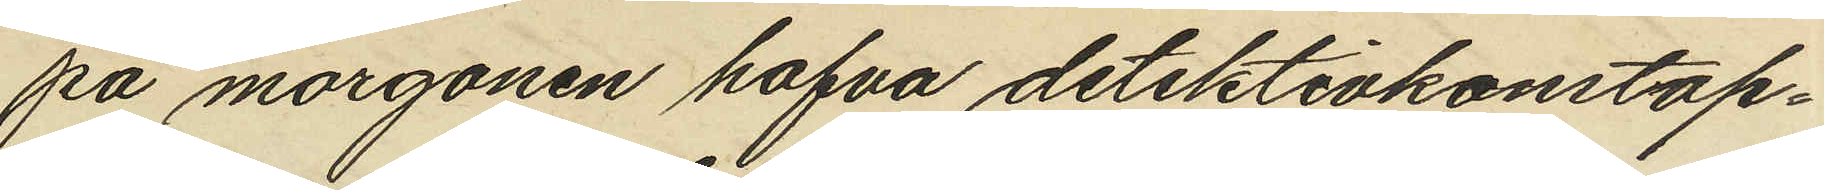på morgonen hafva detektivkonstap¬
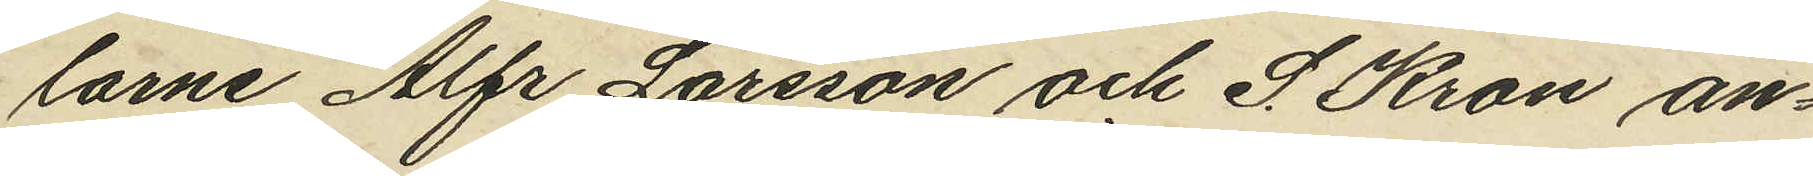larne Alfr. Larsson och S. Kron an¬
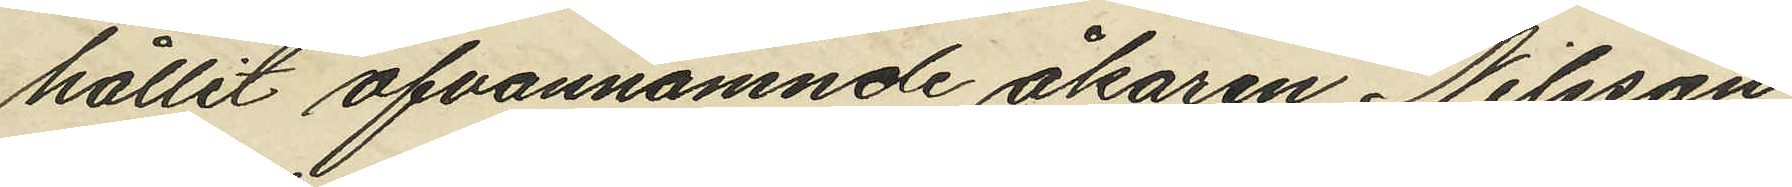hållit ofvannämnde åkaren Nilsson
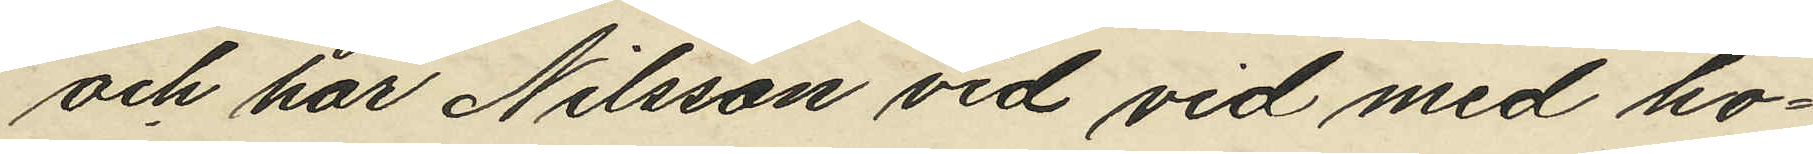och har Nilsson vid vid med ho¬
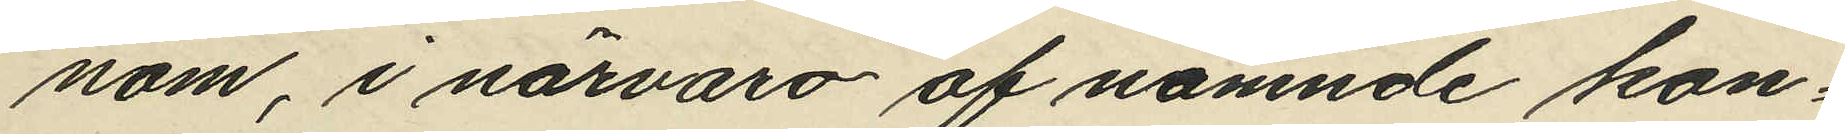nom, i närvaro af nämnde kon¬
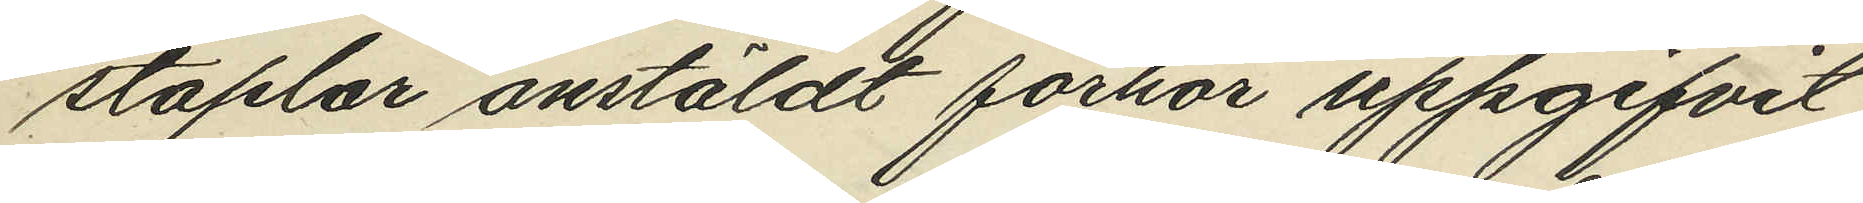staplar anstäldt förhör uppgifvit
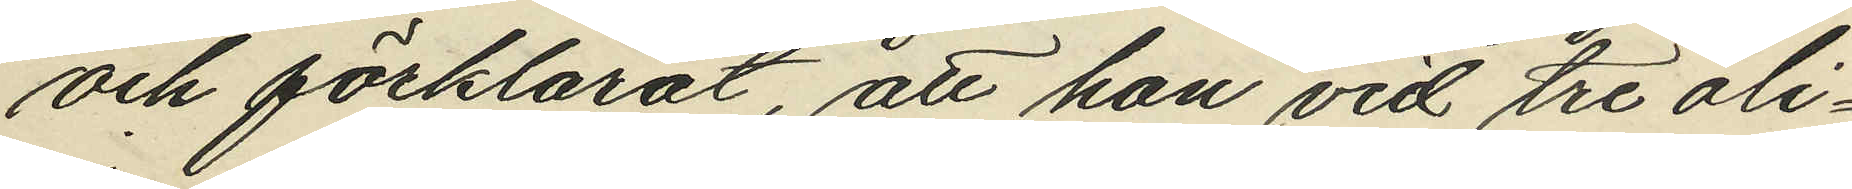och förklarat, att han vid tre oli¬
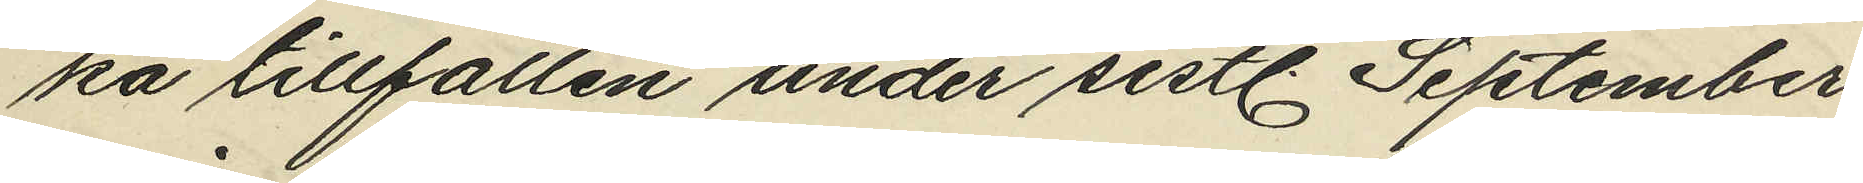ka tillfällen under sistl. September
